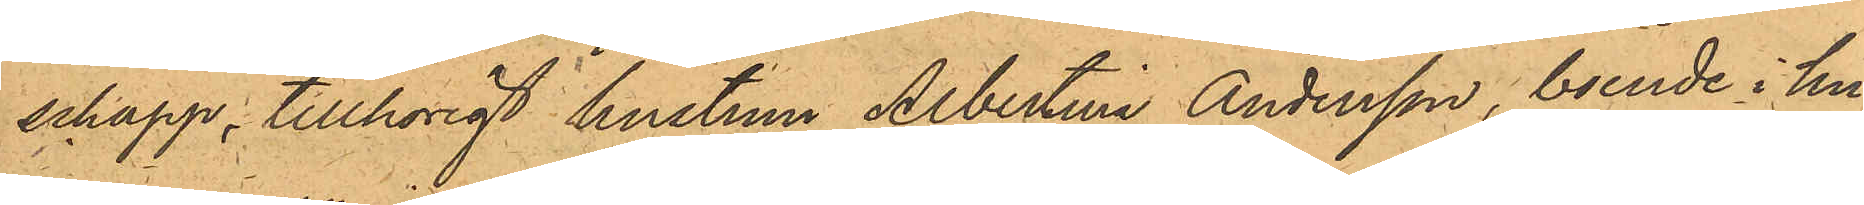schapp; tillhörigt hustrun Albertina Andersson, boende i hu¬
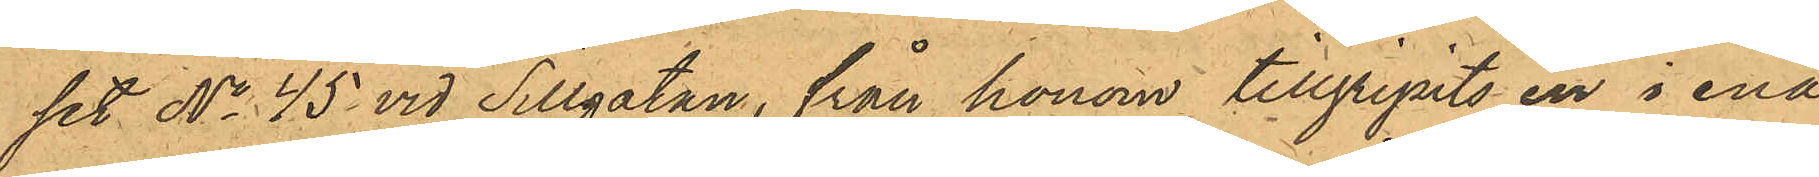set No 45 vid Sillgatan, från honom tillgripits en i ena
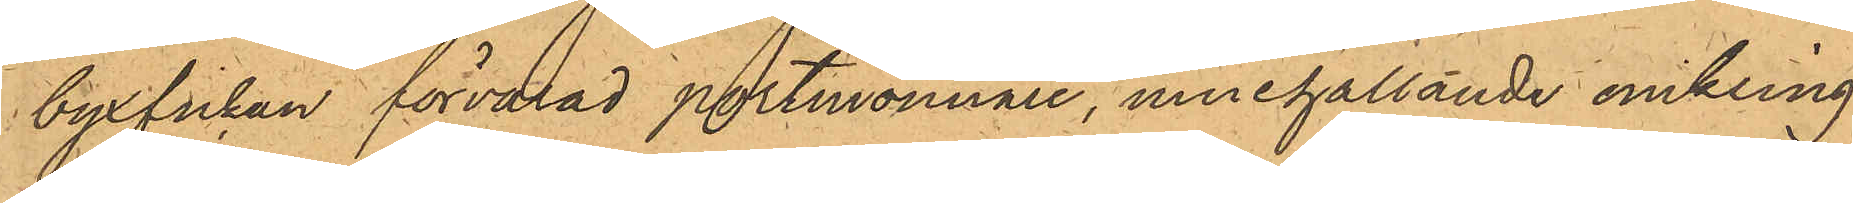byxfickan förvarad portmonnaie, innehållande omkring
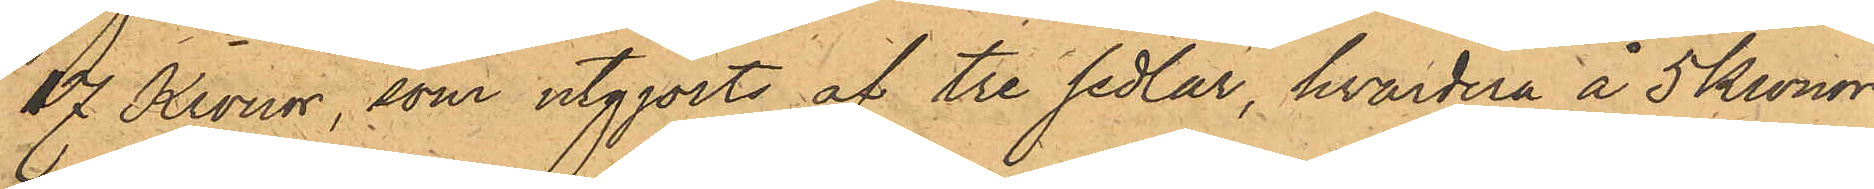17 Kronor, som utgjorts af tre sedlar, hvardera å 5 Kronor
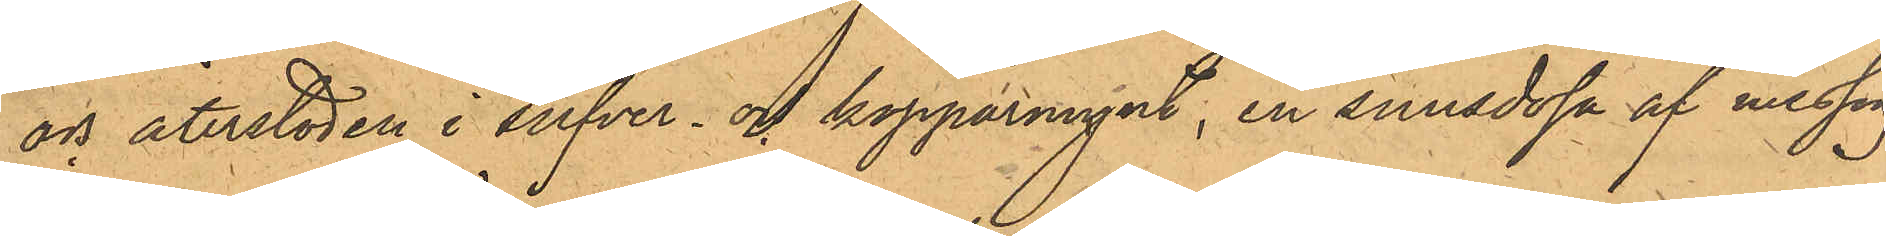och återstoden i silfver- och kopparmynt, en snusdosa af messing
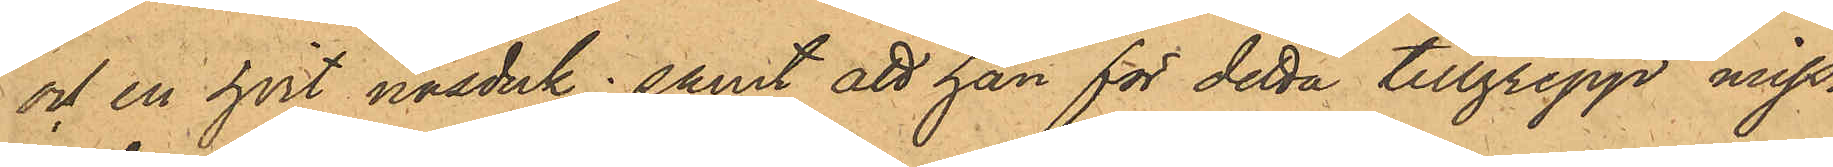och en hvit näsduk; samt att han för detta tillgrepp miss¬
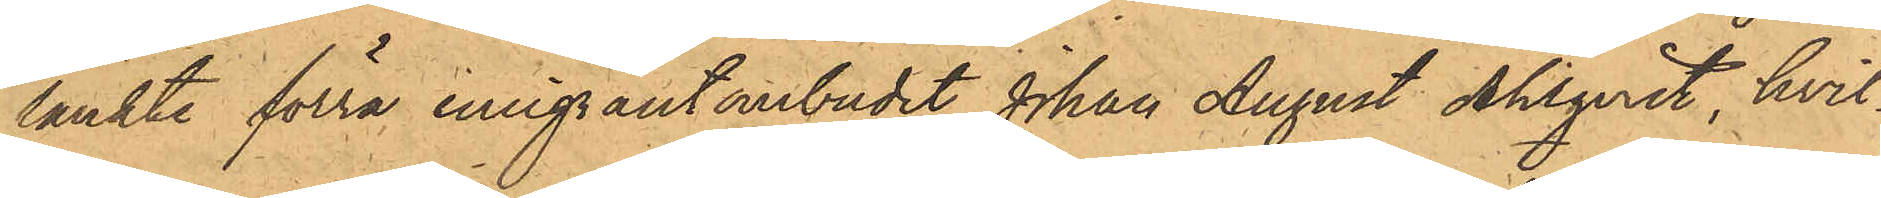tänkte förra emigrantombudet Johan August Ahlqvist, hvil¬
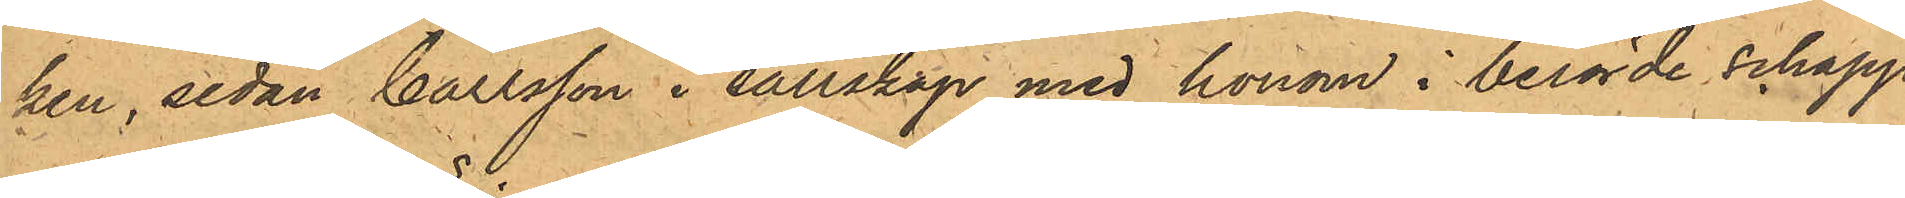ken, sedan Carlsson i sällskap med honom i berörde ochapp
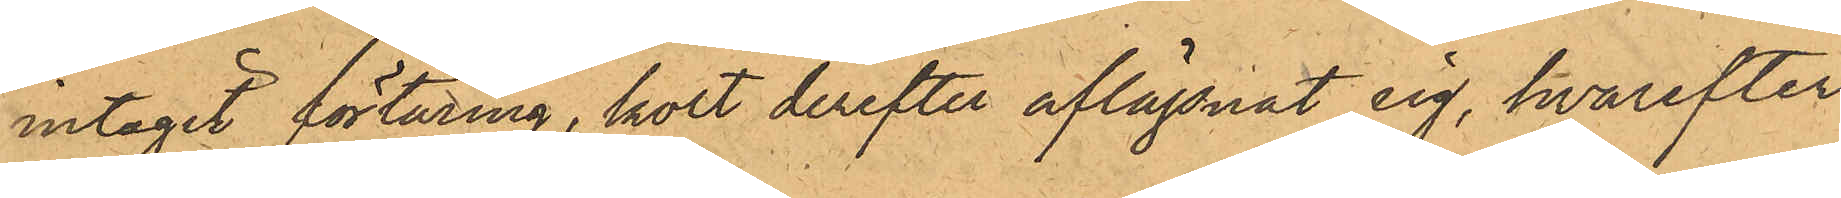intagit förtäring, kort derefter aflägsnat sig, hvarefter
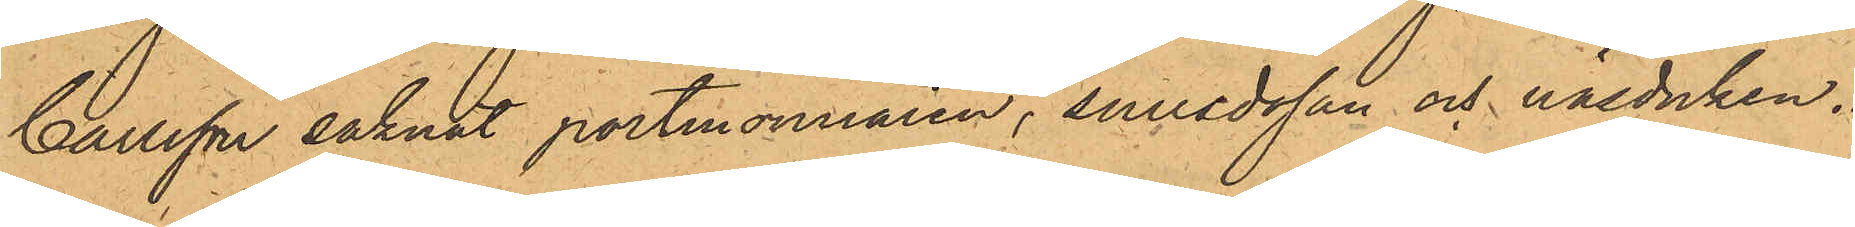Carlsson saknat portmonnaien, snusdosan och näsduken.
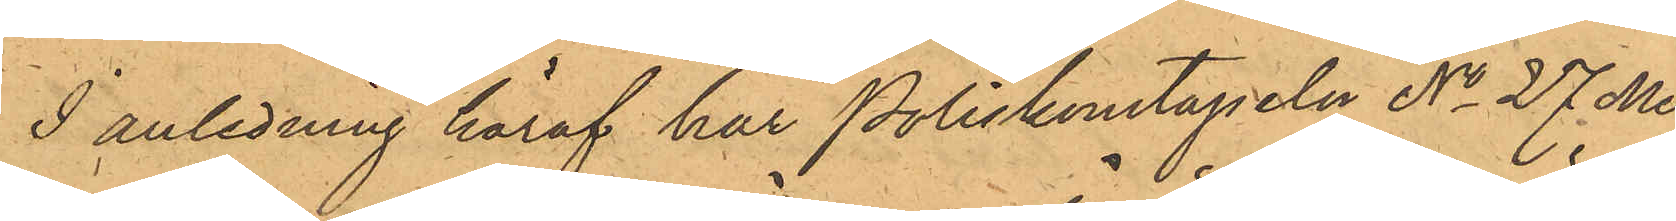I anledning häraf har Poliskonstapeln No 27 Me¬
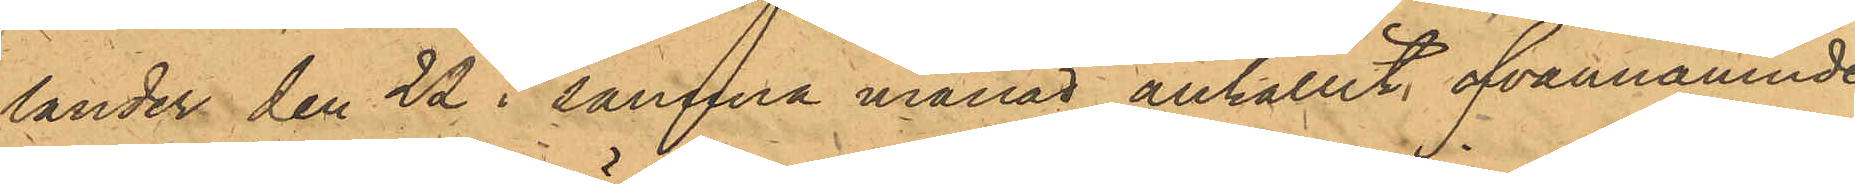lander den 22 i samma månad anhållit ofvannämnde
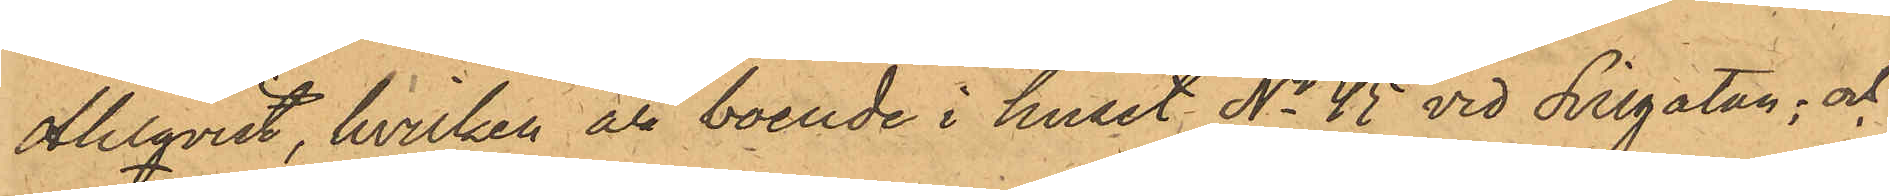Ahlqvist, hvilken är boende i huset No 45 vid Sillgatan; och
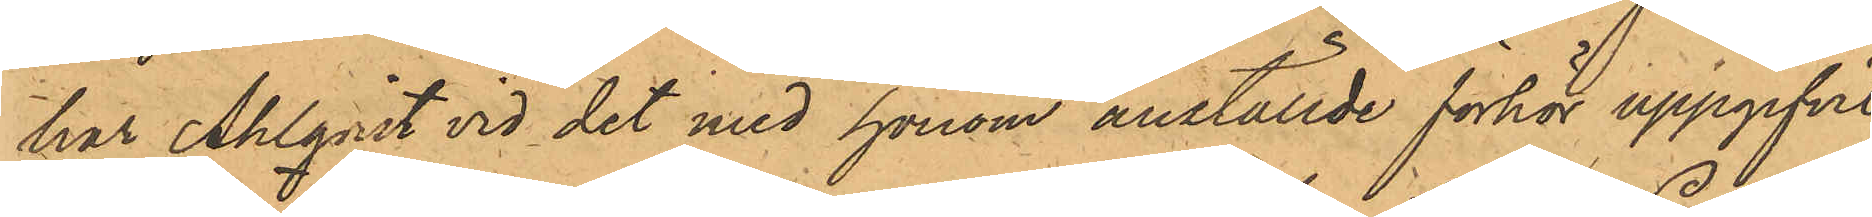har Ahlquist vid det med honom anställde förhör uppgifvit
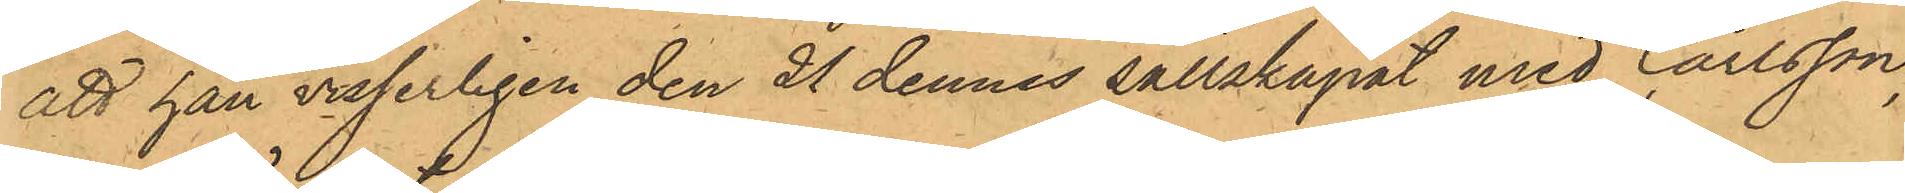att han visserligen den 21 dennes sällskapat med Carlsson,
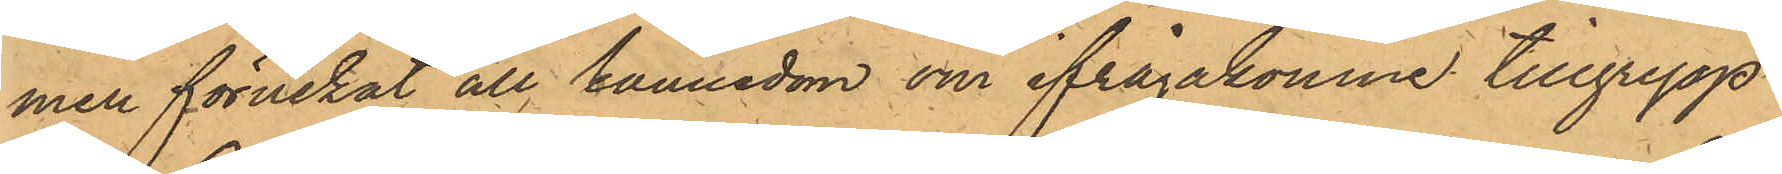men förnekat all kännedom om ifrågakomne tillgrepp.
